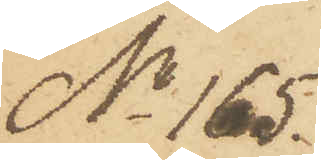No 165.
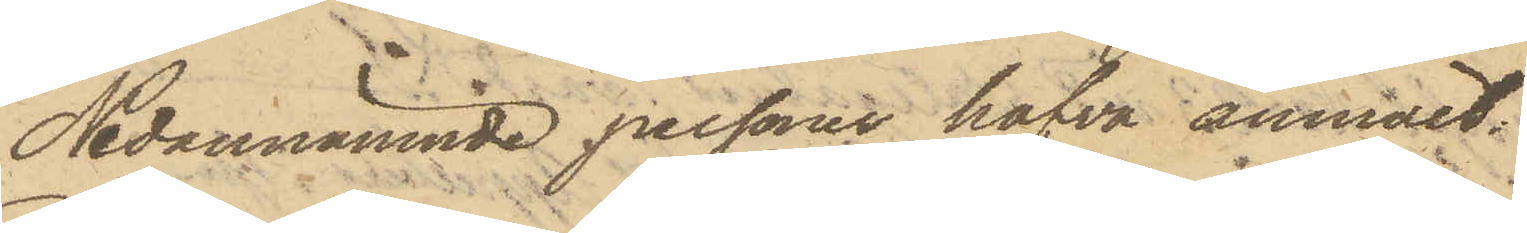Nedannämnde personer hafva anmält:
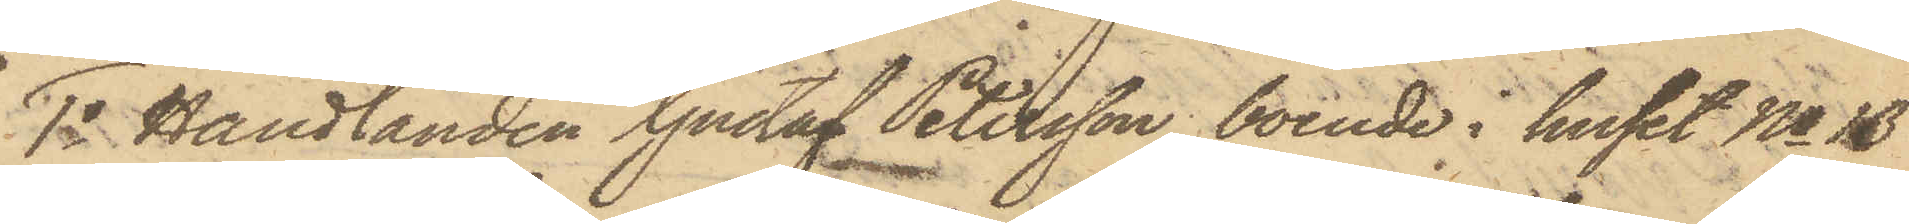1o Handlanden Gustaf Petersson, boende i huset No 13
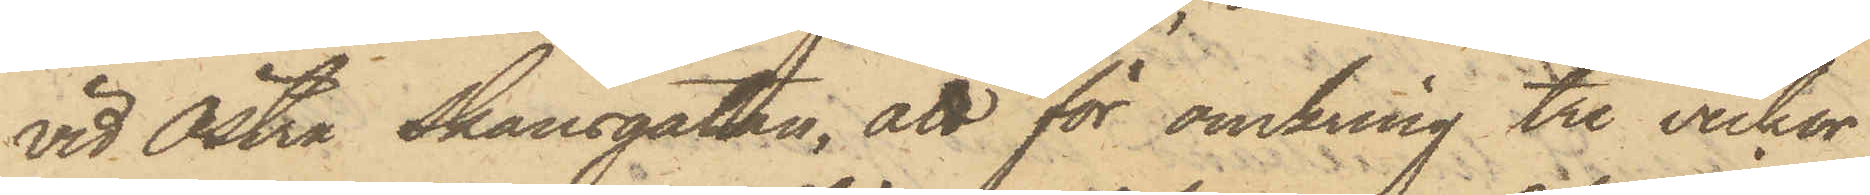vid Östra Skansgatan, att för omkring tre veckor
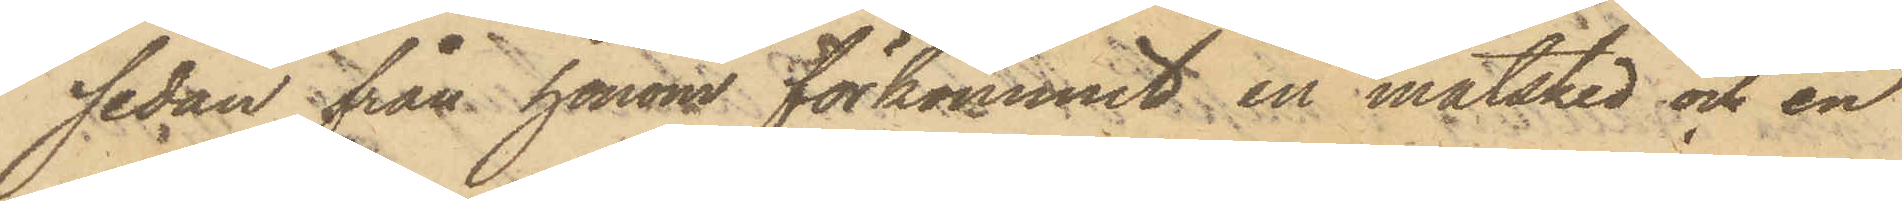sedan från honom förkommit en matsked och en
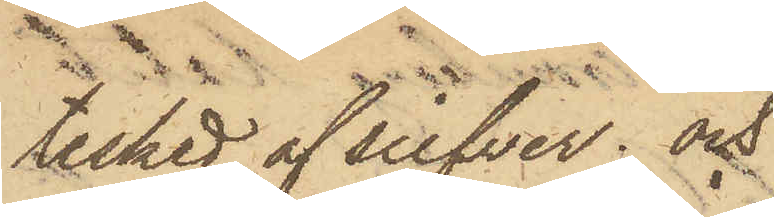tesked af silfver; och
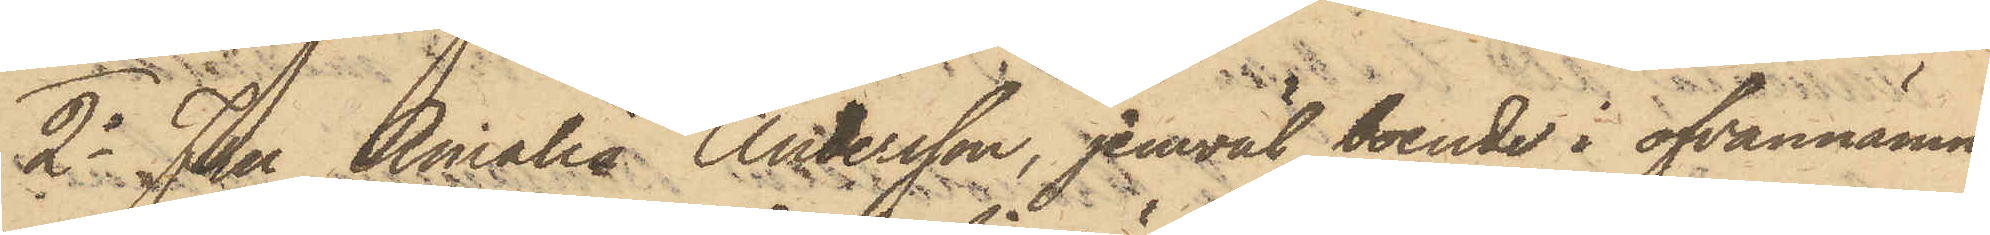2o Fru Amalia Andersson, jemväl boende i ofvannämn¬
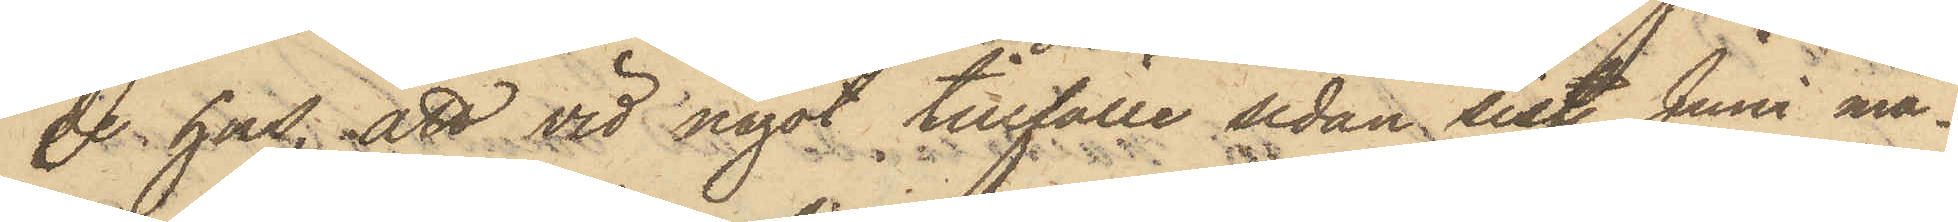de hus; att vid något tillfälle sedan sist. Juni må¬
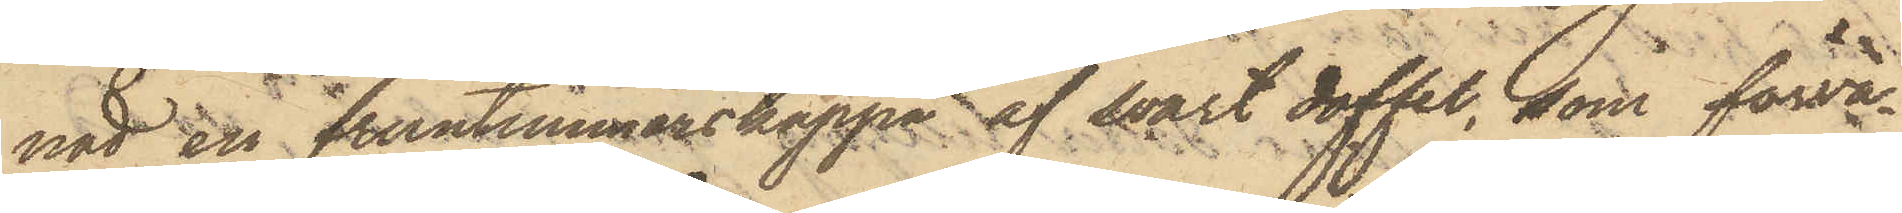nad en fruntimmerskappa af svart doffel, som förva¬
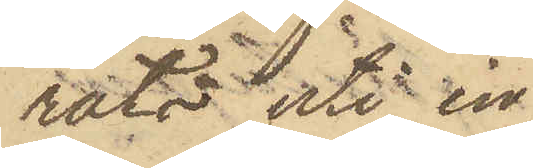rats uti en
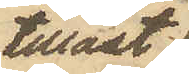tillåst
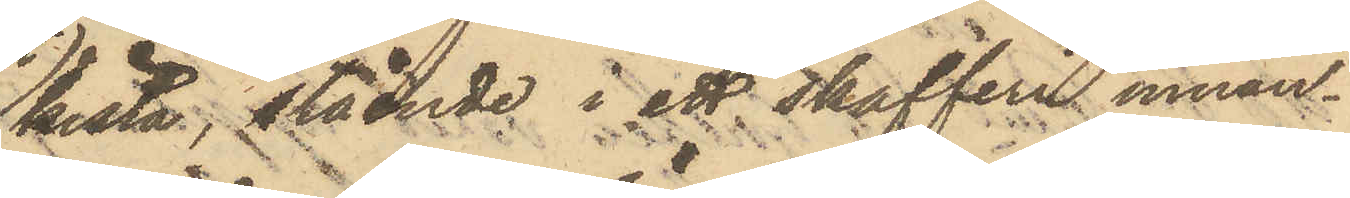kista, stående i ett skafferi innan¬
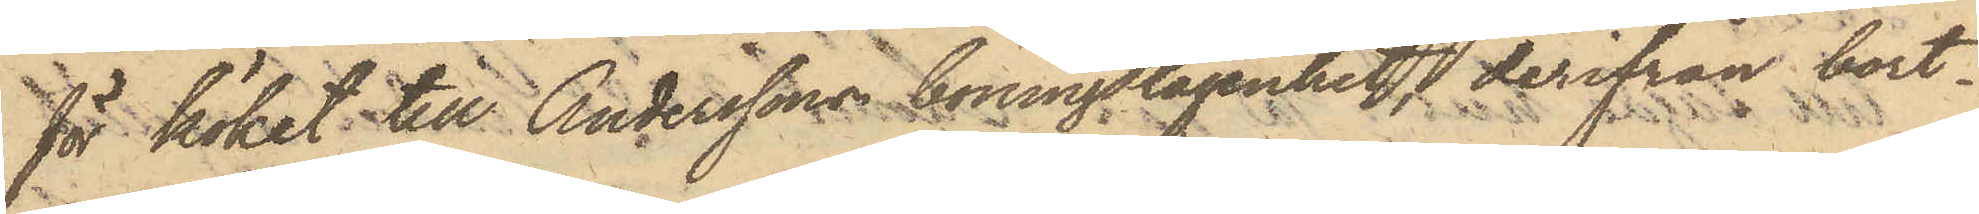för köket till Anderssons boningslägenhet, derifrån bort¬
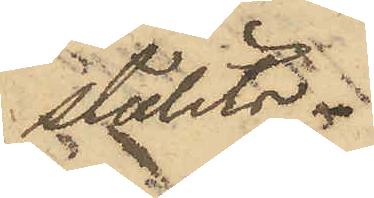stulits.
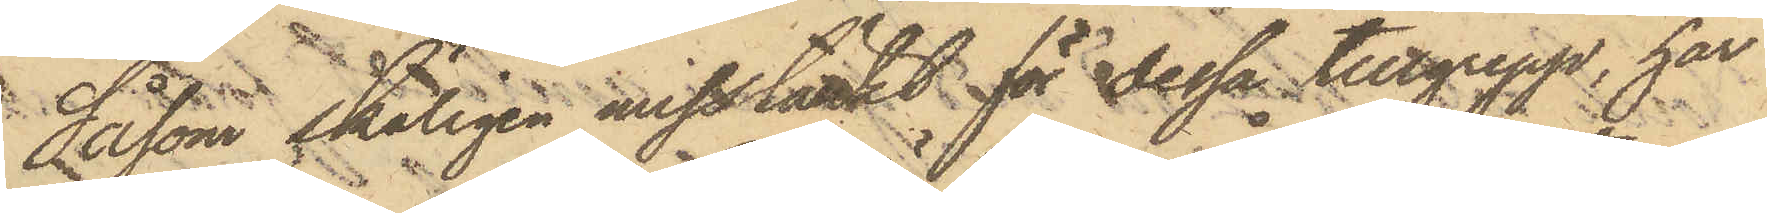Såsom skäligen misstänkt för dessa tillgrepp, har
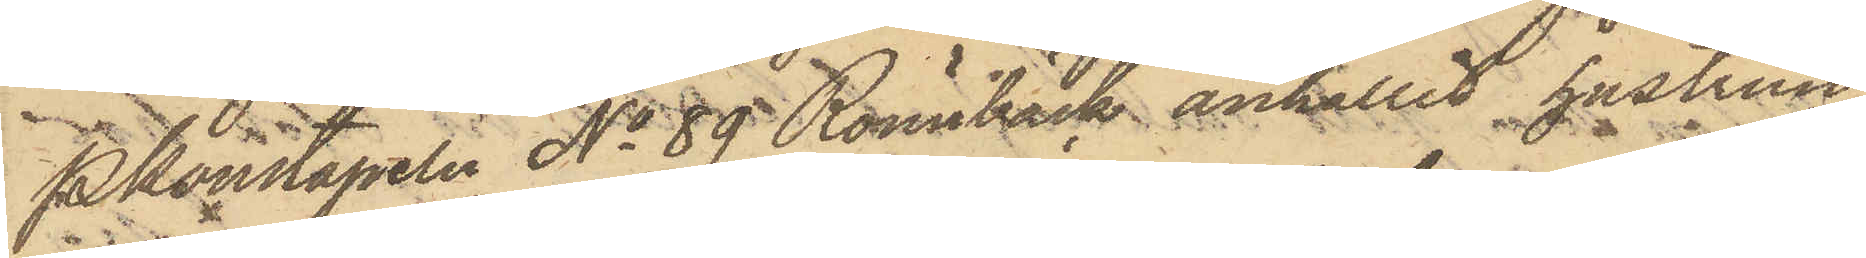Pkonstapeln No 89 Rönnbäck anhållit hustrun
